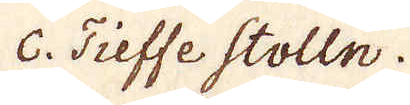c. Tieffe Stolln.
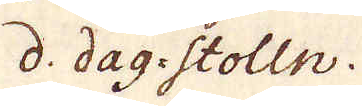d. dag-Stolln.
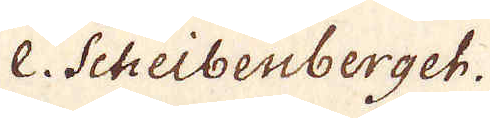e. Scheibenberget.
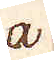a
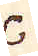c
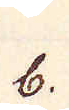b.
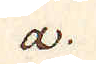a.
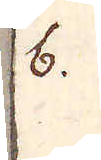b.
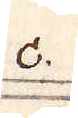c.
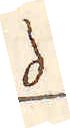d
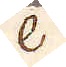e
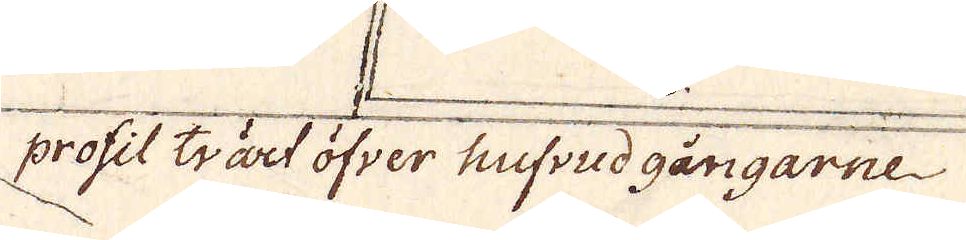profit trärt öfver tinfud gångarne
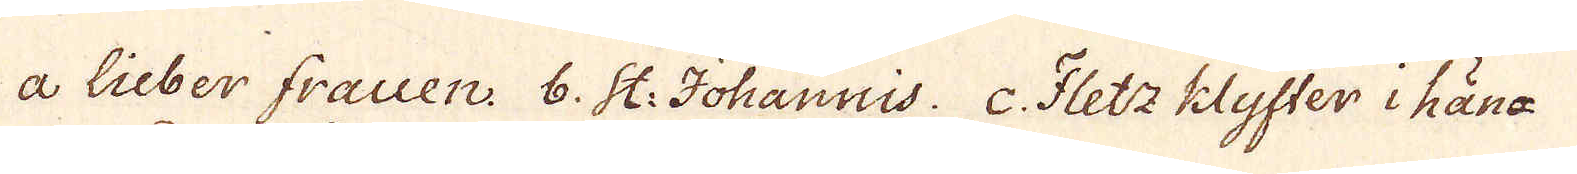a Lieber frauen. 6. St: Johannis. c. Fletz klyfter i hän-
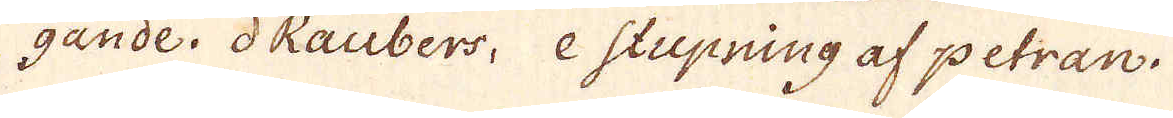gande. d Raubers, e stupning af petran.
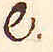e.
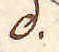d.
